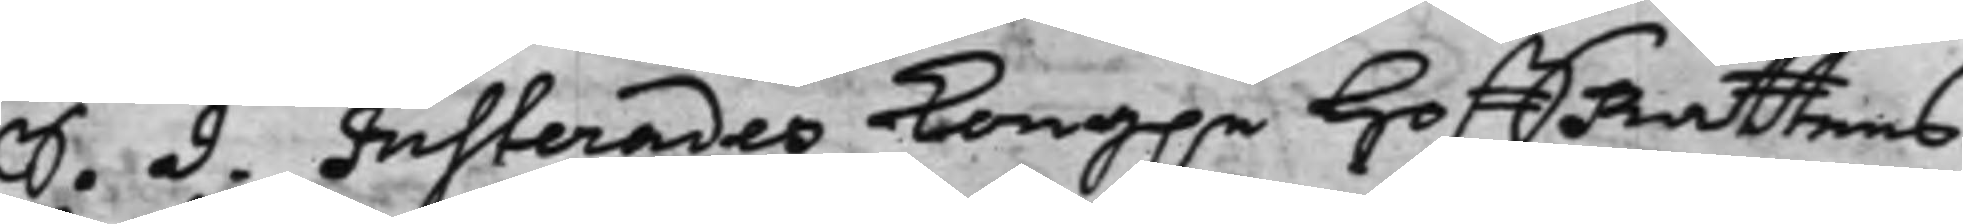S. d. Justerades Kong.e HoffRättens
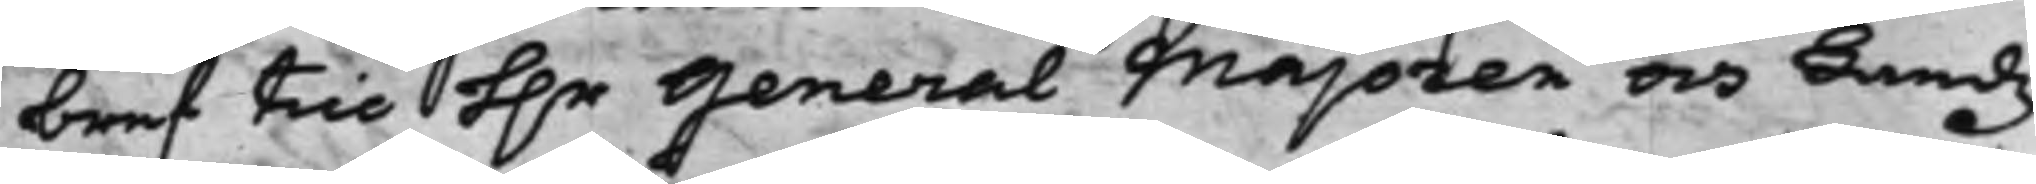bref till H.r General Majoren och Landz¬
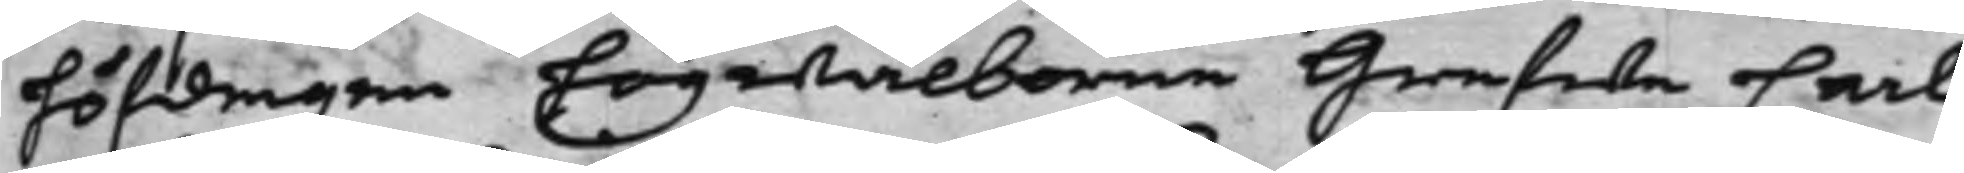höfdingen högwälborne Grefwe Carl
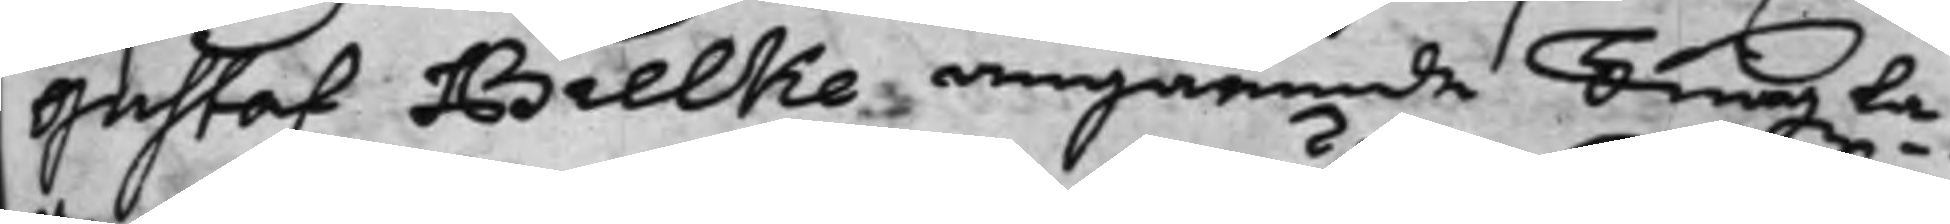Gustaf Bielke, angående Tingzla¬
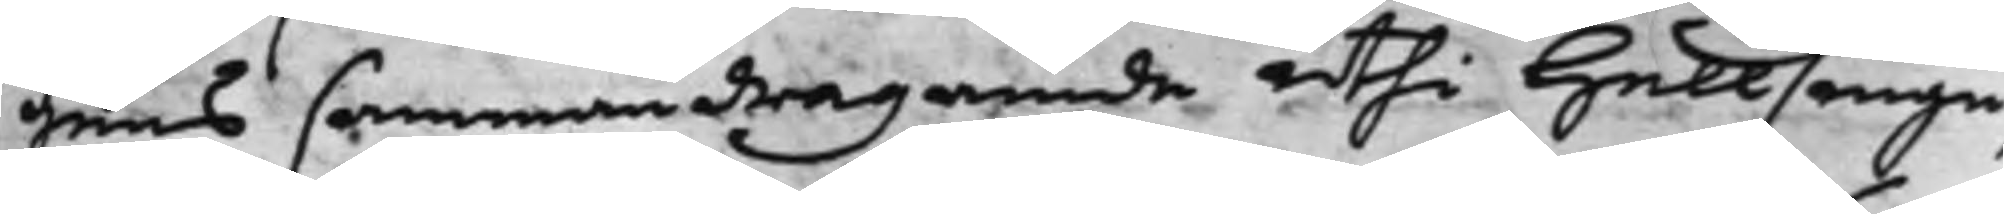gens sammandragande uthi Hällisnge¬
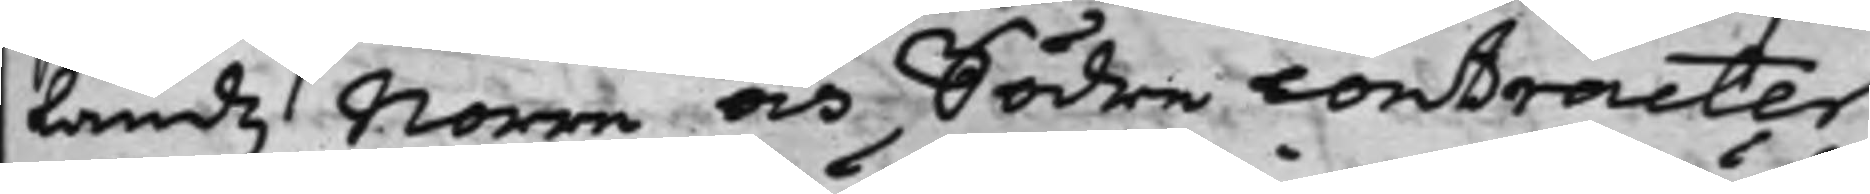Landz Norre och Södre contracter
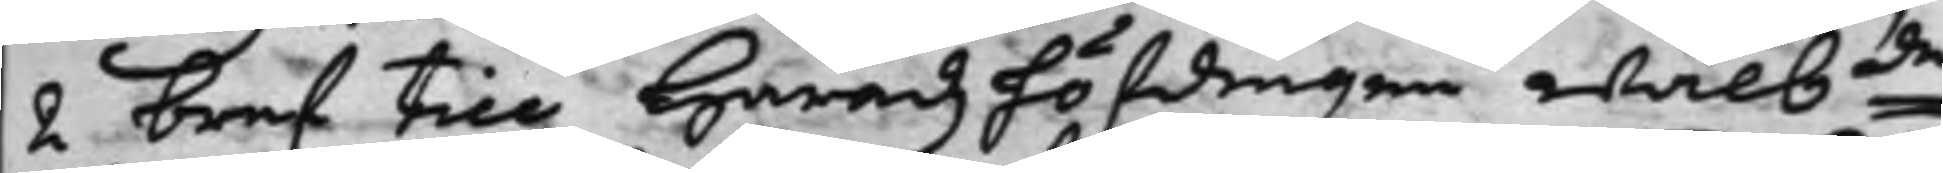2 bref till Häradzhöfdingen Wälbde
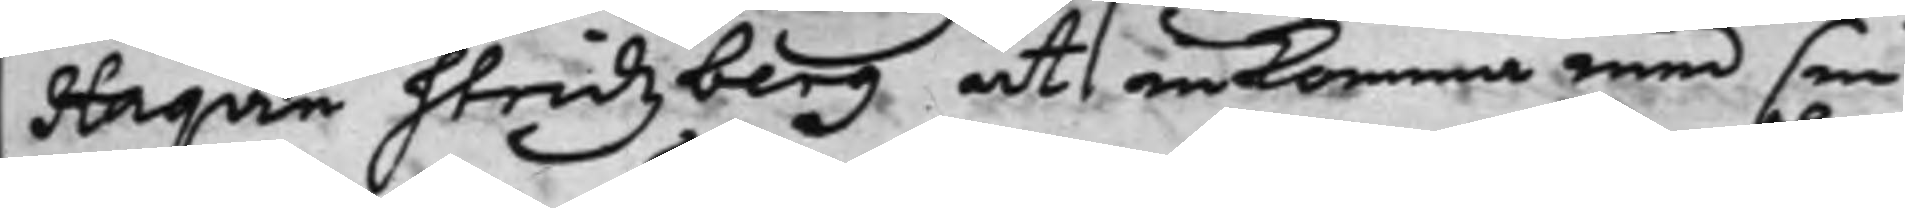Haqvin Stridzberg att inkomma med sin
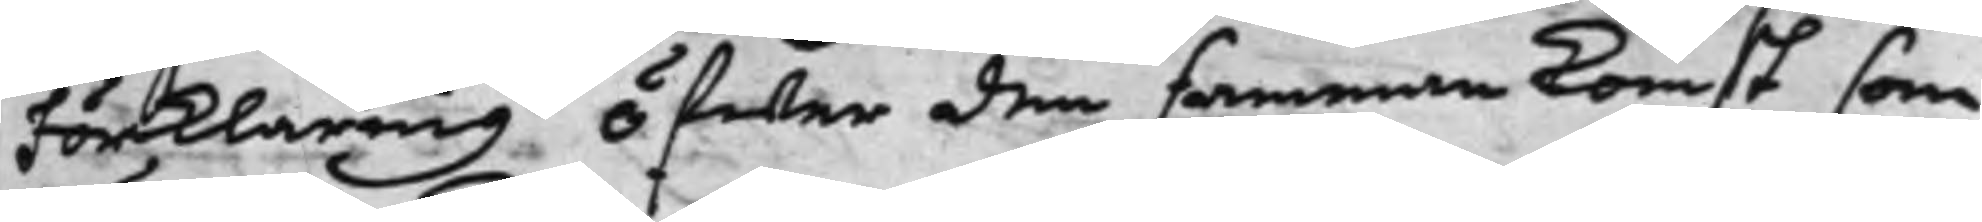Förklaring öfwer den sammankomst som
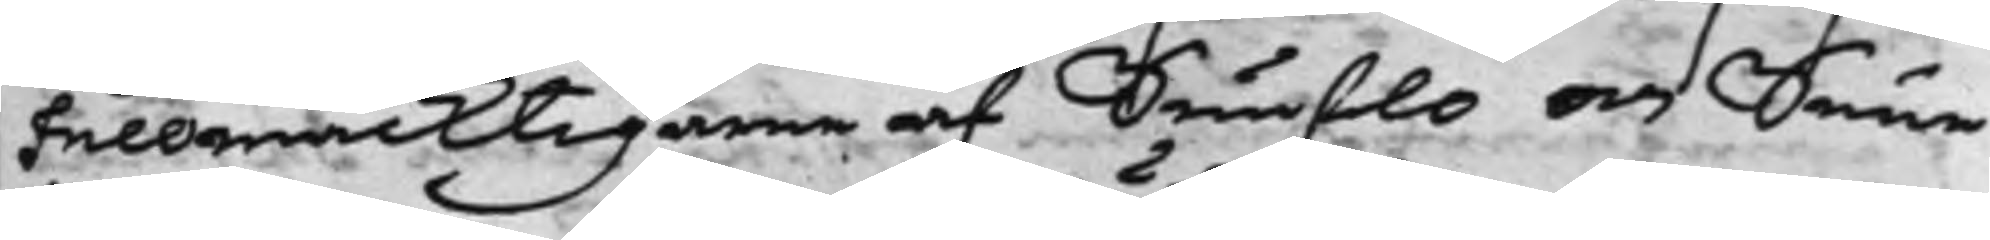Fullmäcktigarne af Sunflo och Sunne
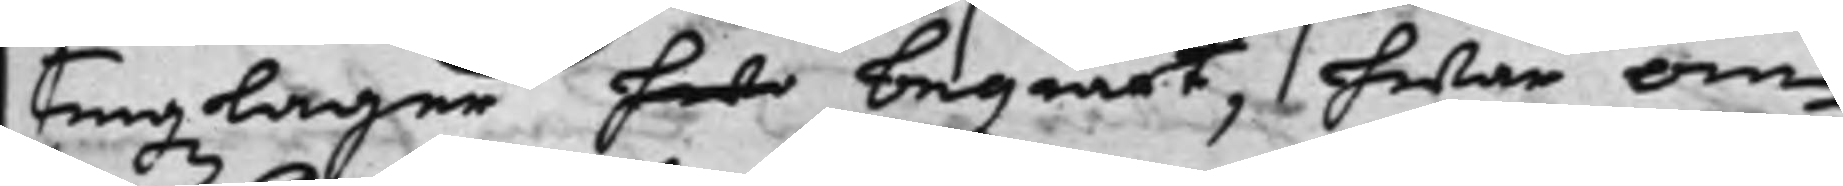tingzlager hade begiärt, hwar om
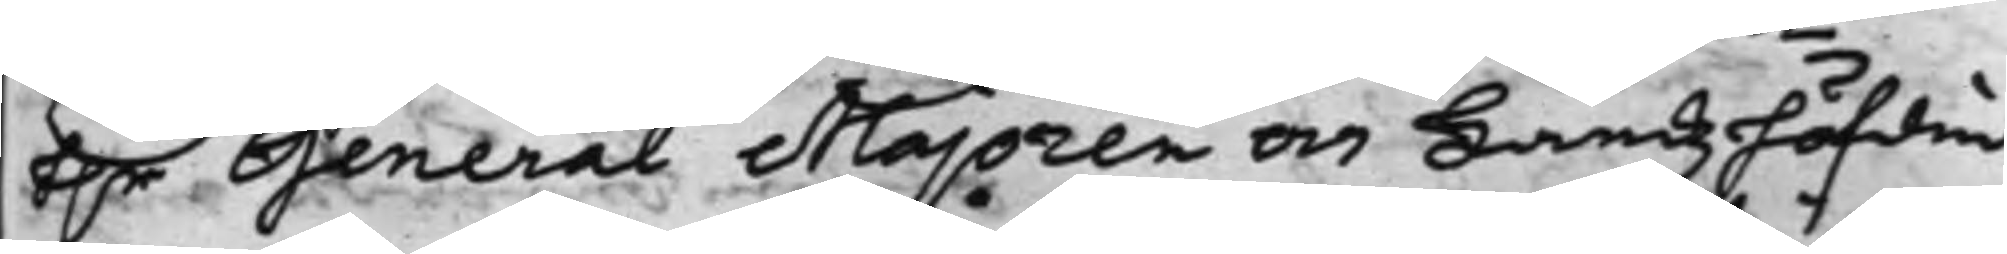H.r General Majoren och Landzhöfdin¬
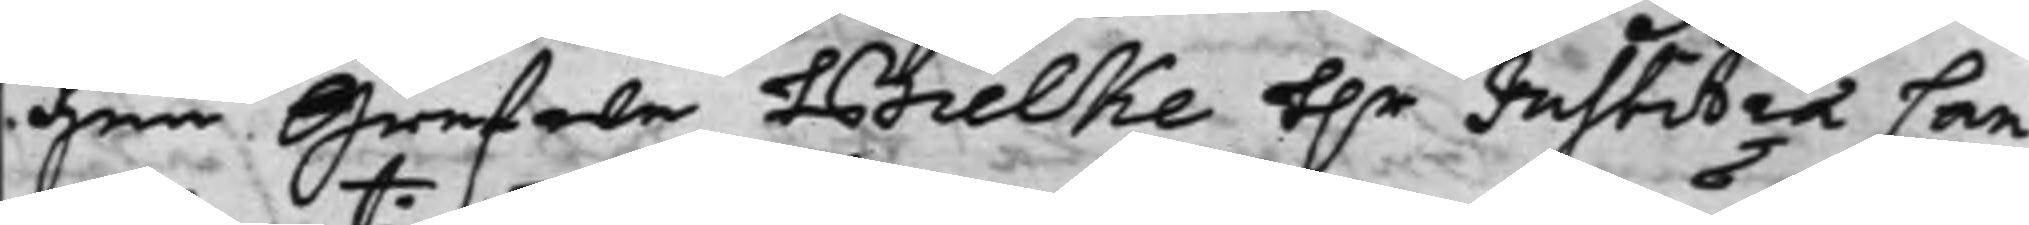gen Grefwe Bielke H.r Justitiæ Can¬
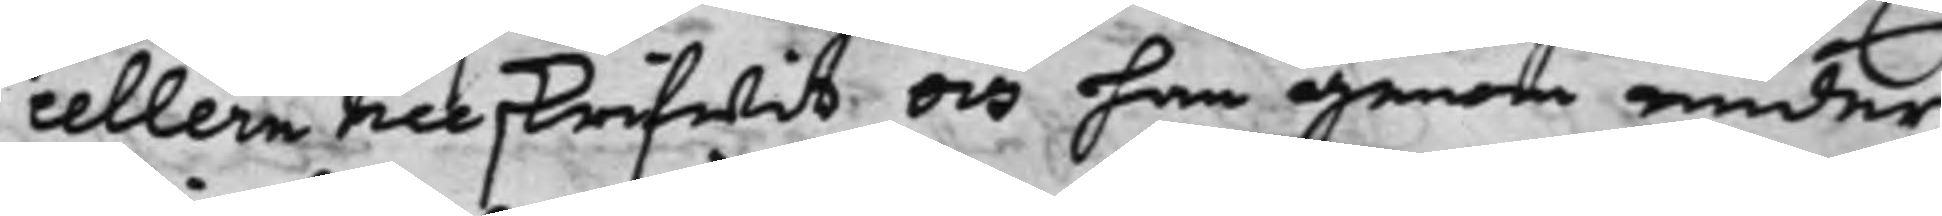cellern tillskrifwit och han genom under¬
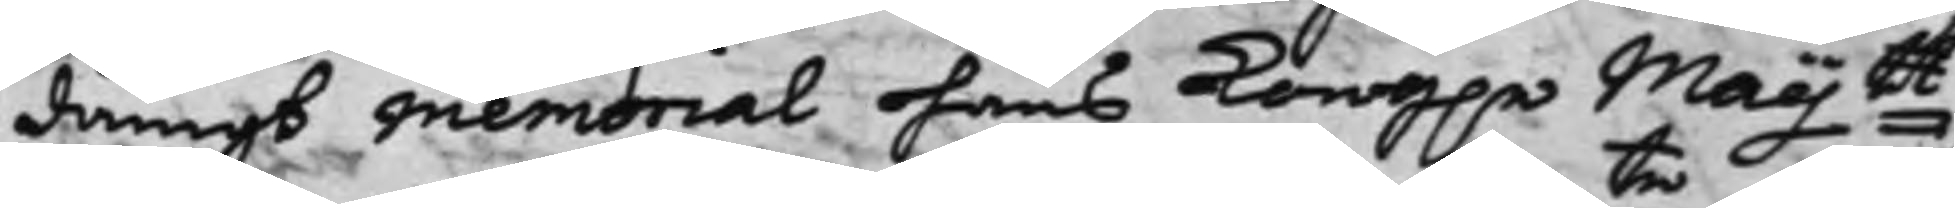dånigt Memorial hans Kong.eMaijtt
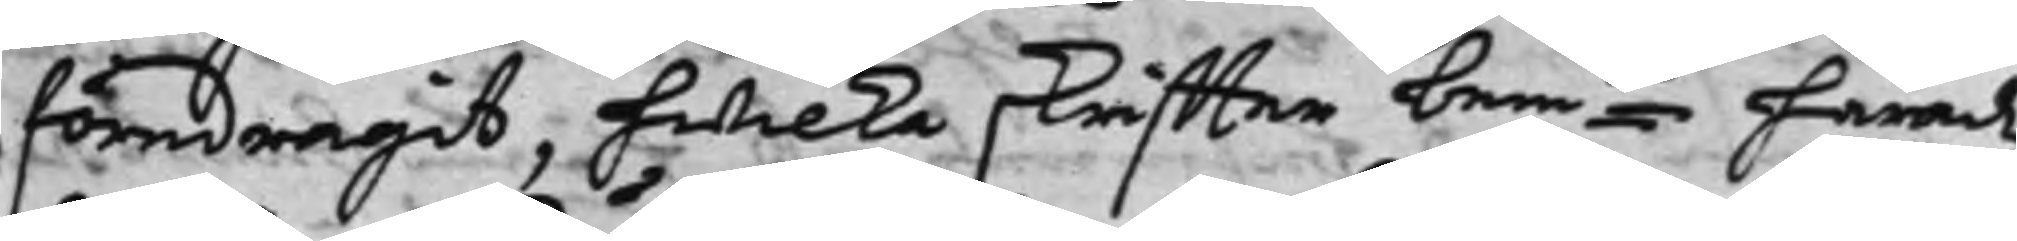föredragit, hwilka skriffter bemte Häradz¬
